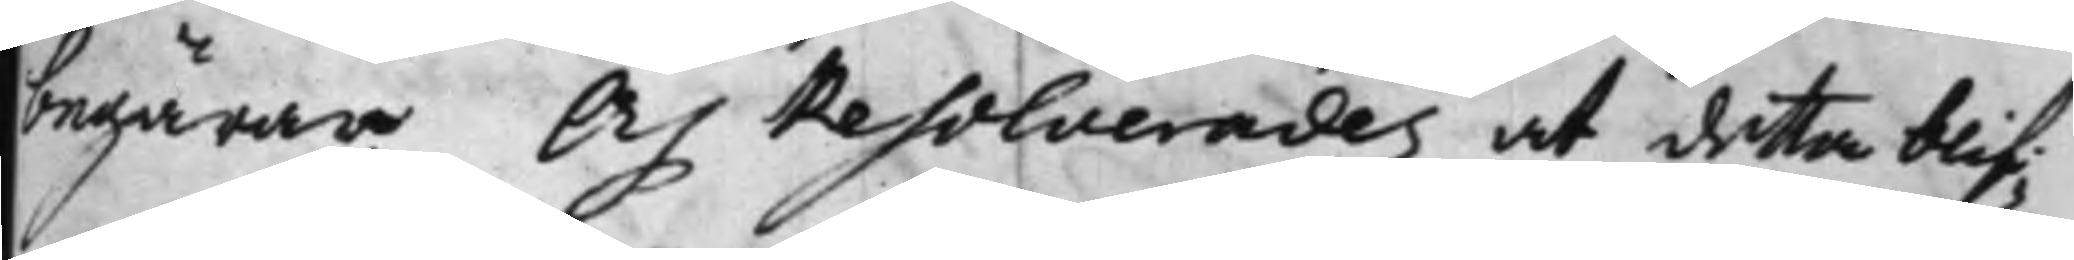begärar. Och Resolverades at dett blif¬
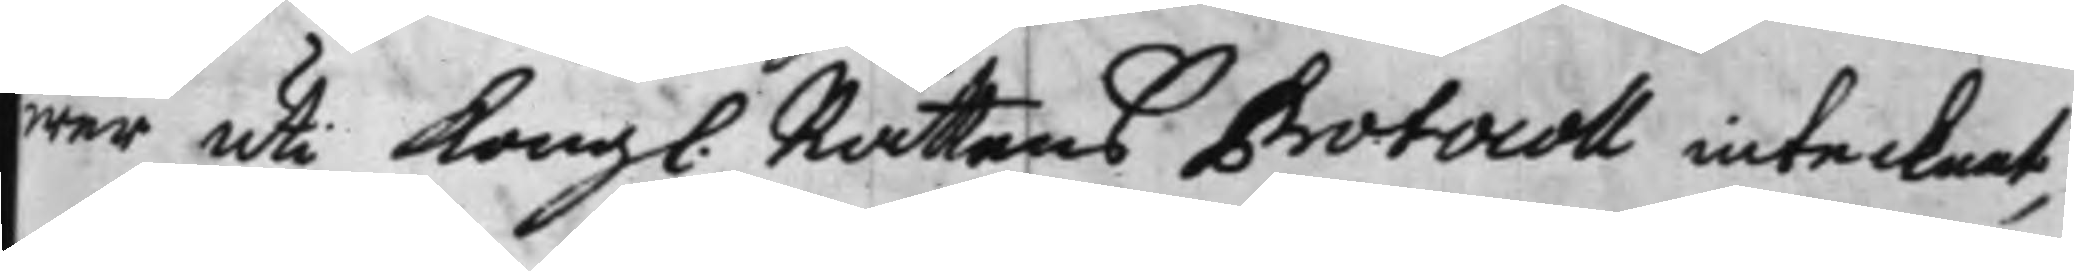wer uti Kongl. Rättens Protocoll intecknat,
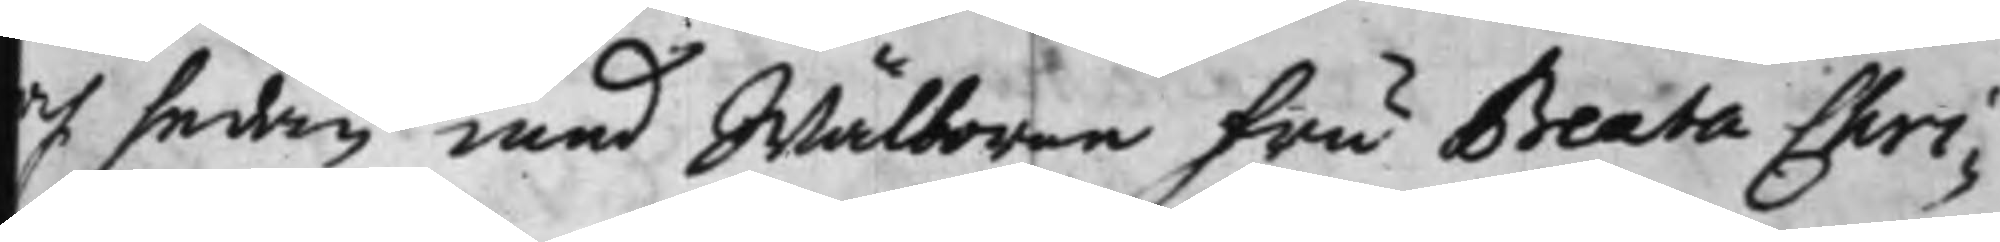och sedan med Wälborne fru Beata Chri¬
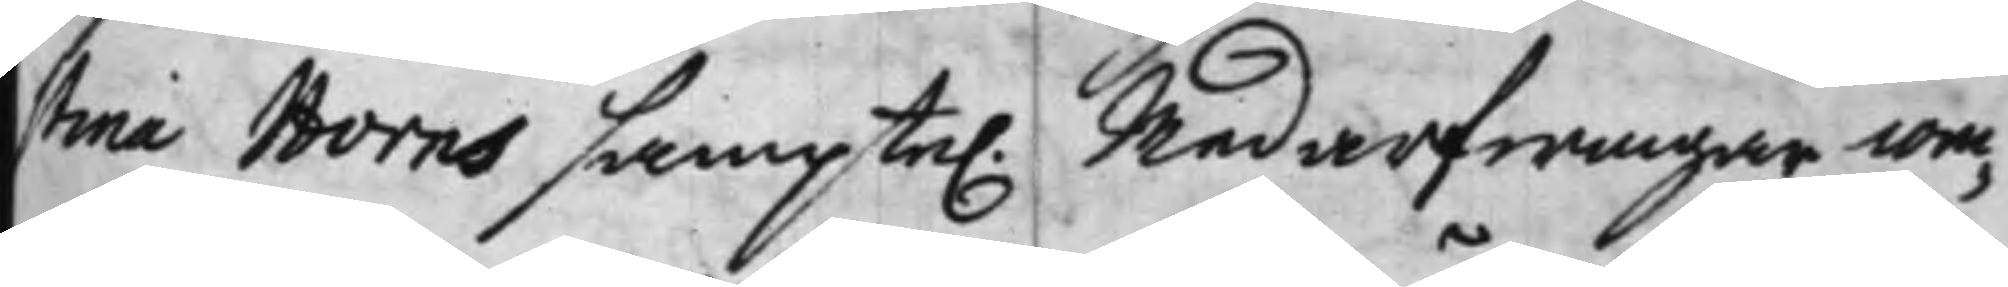stina Horns samptel. Medarfwingar com¬
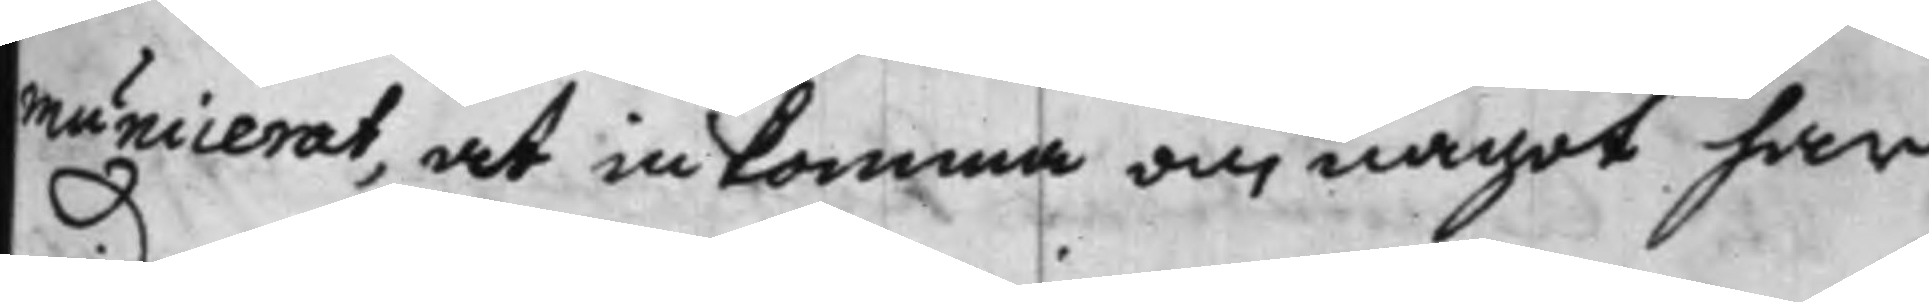municerat, at inkomma om något har
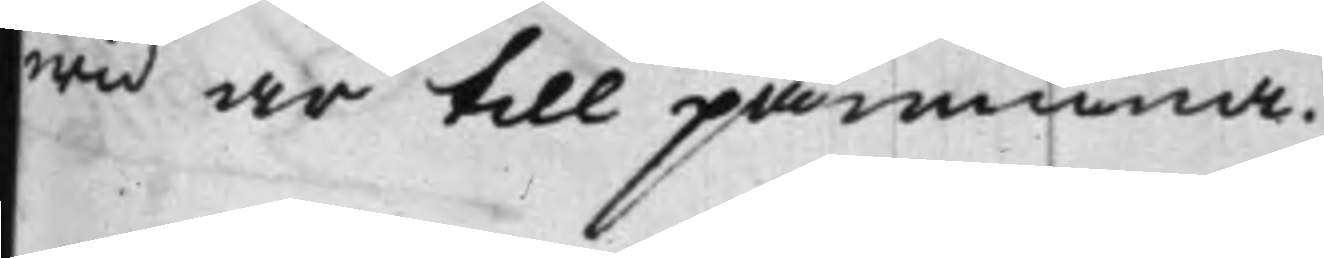wid är till påminna.
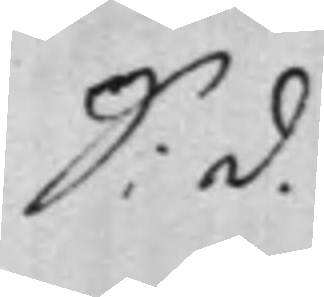S: d.
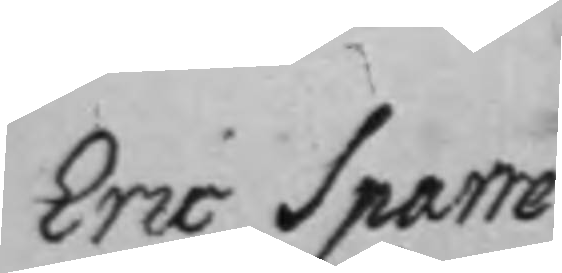Eric Sparre
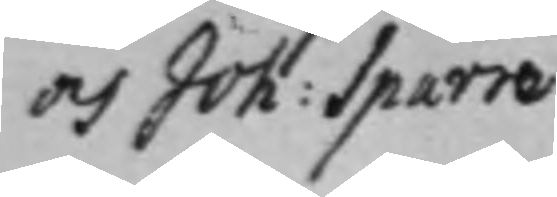och Joh: Sparre
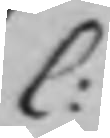C:
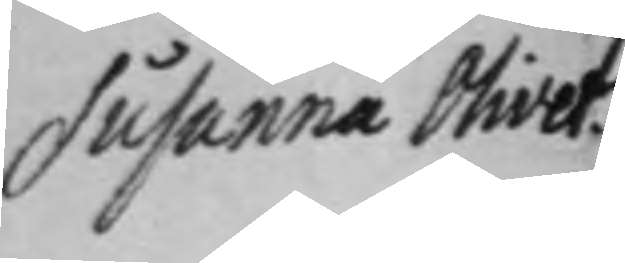Susanna Olivet.
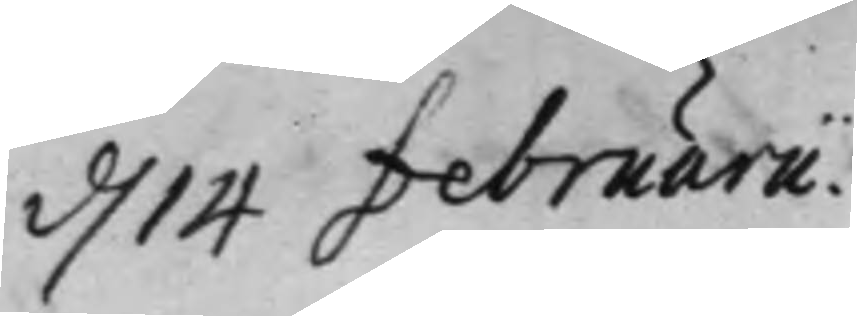d. 14 februarii.
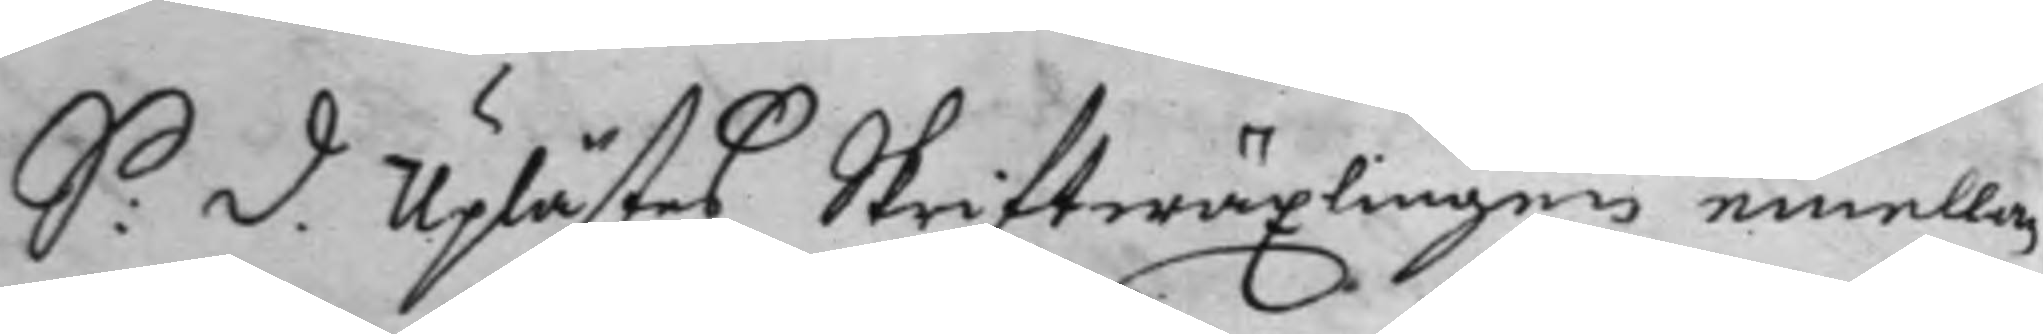S: d. Uplästes Skriftwäxlingen emellan
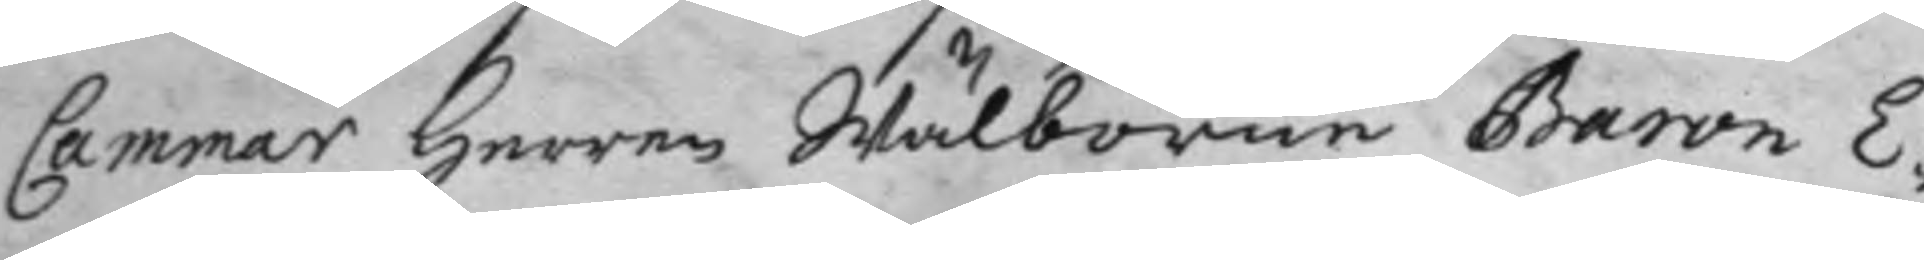Cammar Herren Wälborne Baron E¬
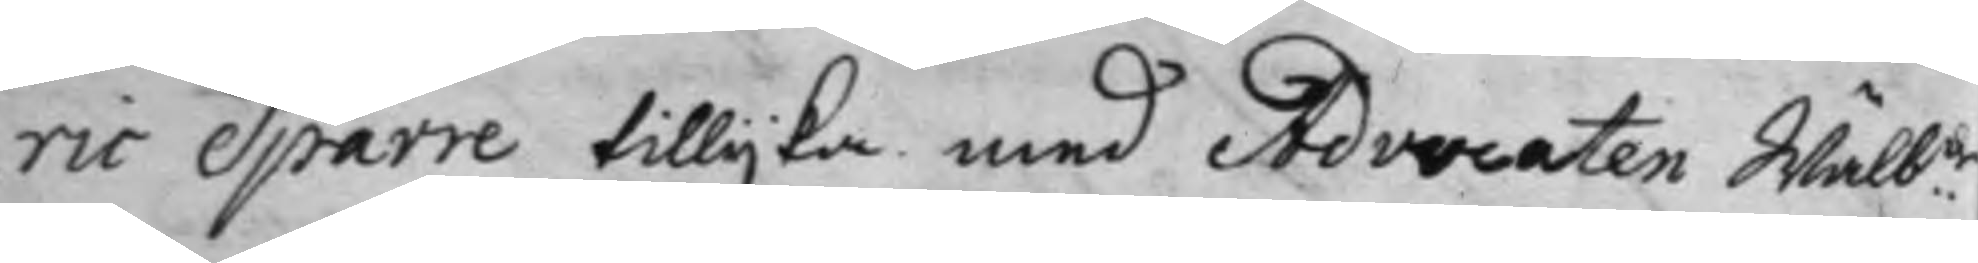ric Sparre tillijka med Advocaten Wälbde
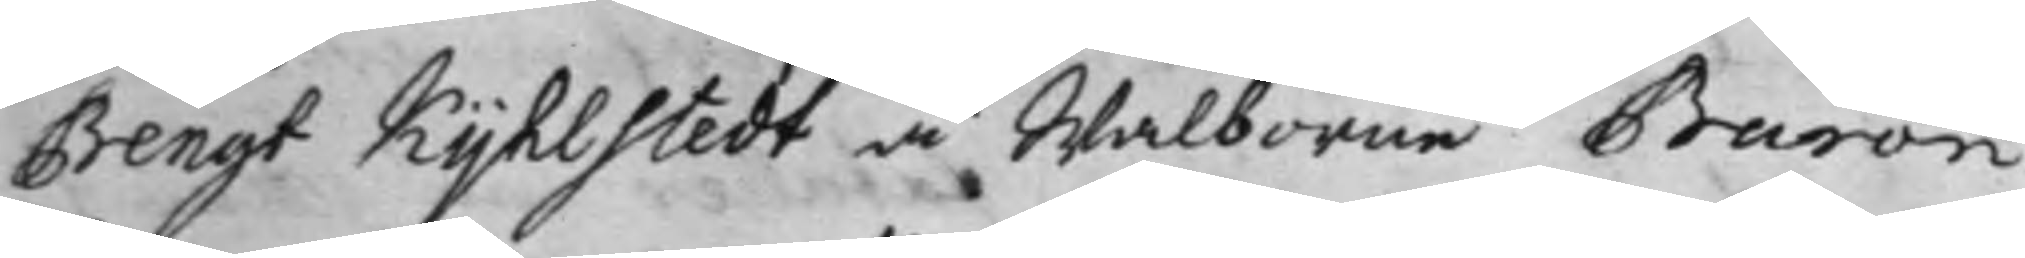Bengt Kijhlstedt å Wälborne Baron
